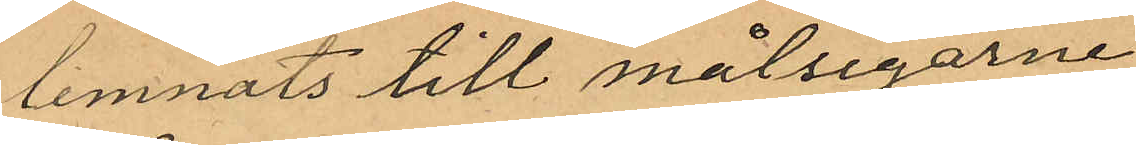lemnats till målsegarne
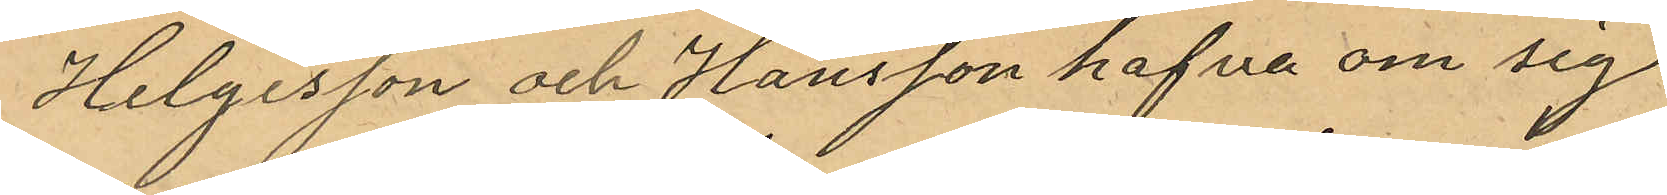Helgesson och Hansson hafva om sig
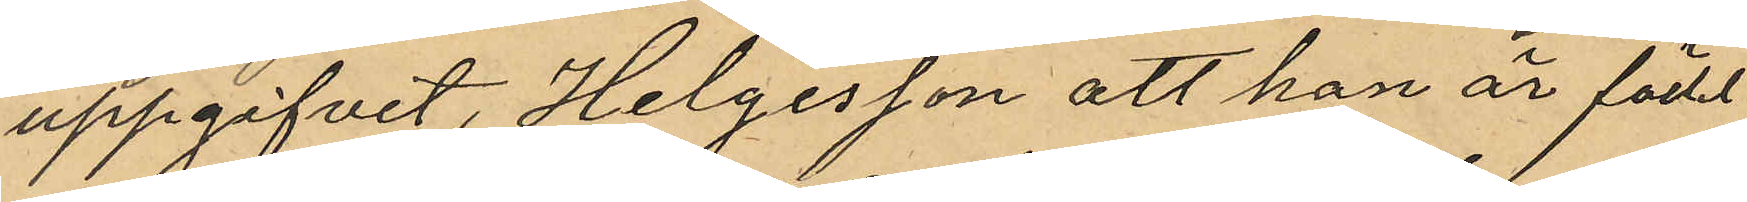uppgifvit, Helgesson att han är född
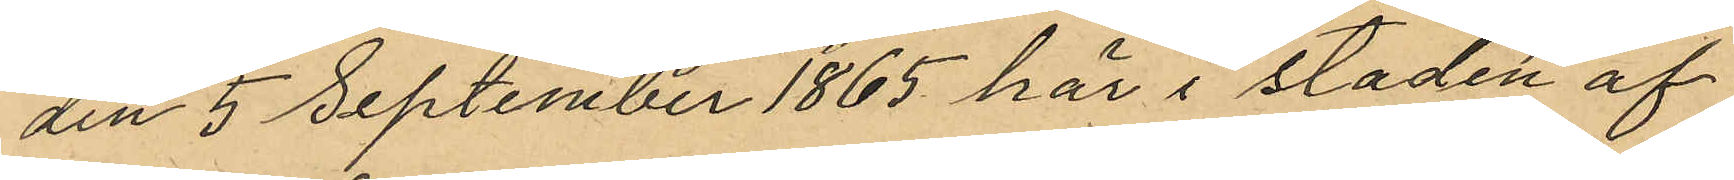den 5 September 1865 här i staden af
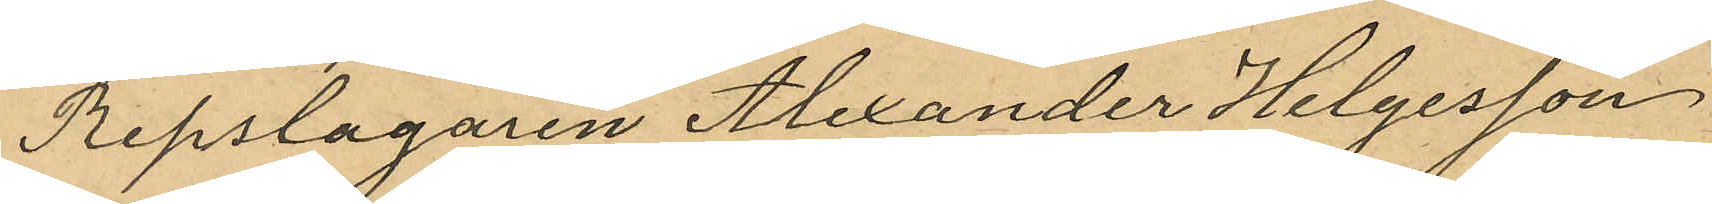Repslagaren Alexander Helgesson
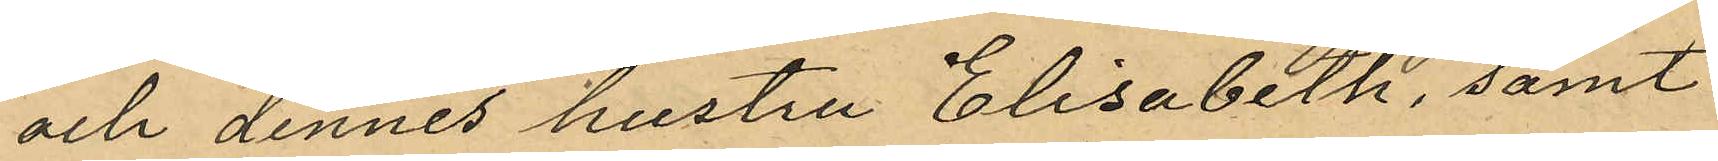och dennes hustru Elisabeth, samt
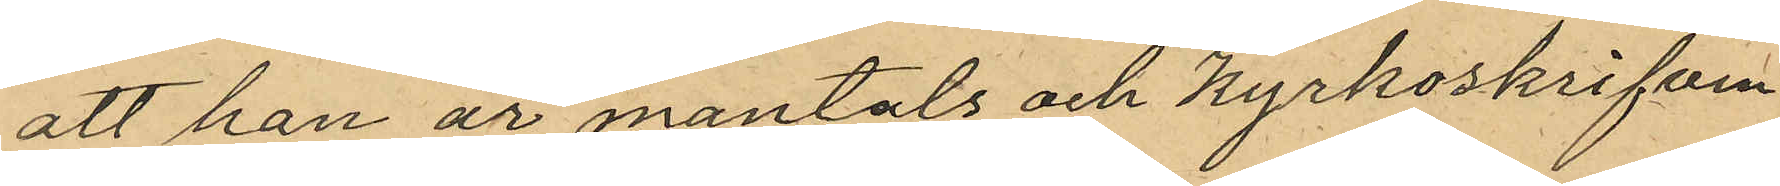att han är mantals och kyrkoskrifven
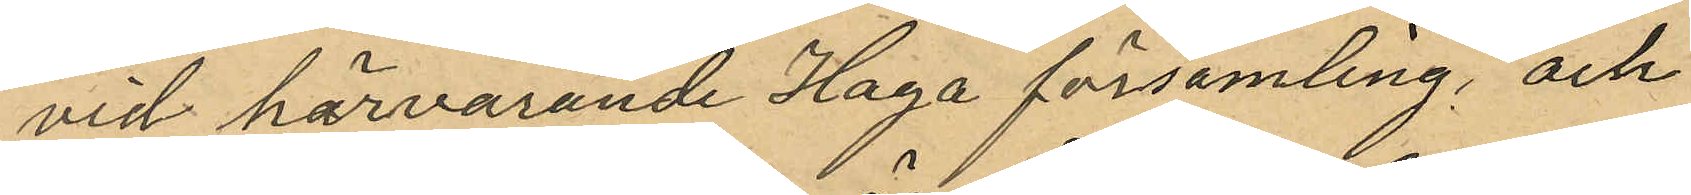vid härvarande Haga församling, och
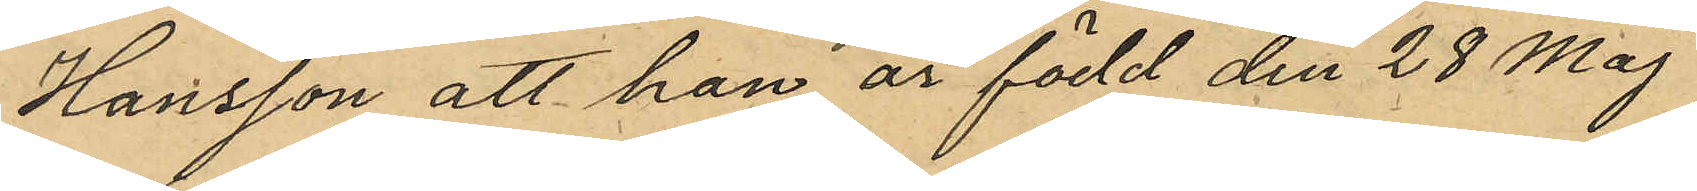Hansson att han är född den 28 Maj
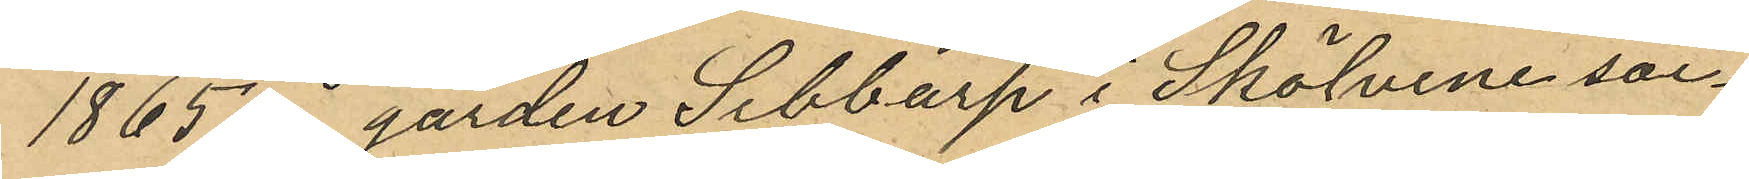1865 å gården Sibbarp i Skölvene soc¬
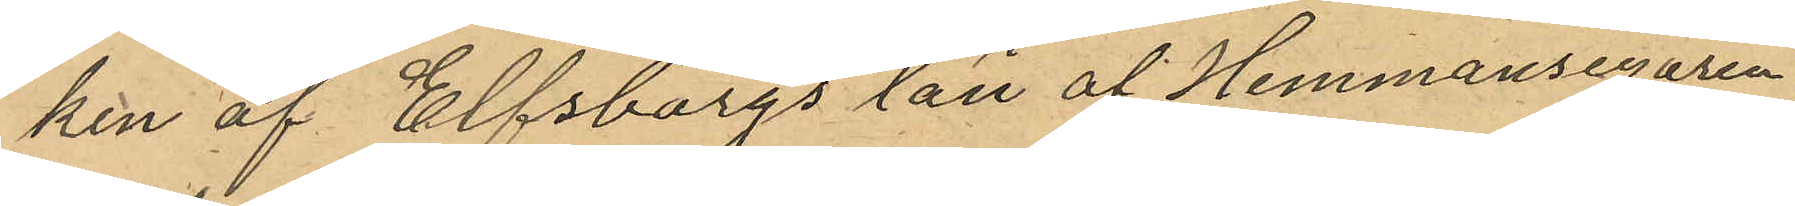ken af Elfsborgs län af Hemmansegaren
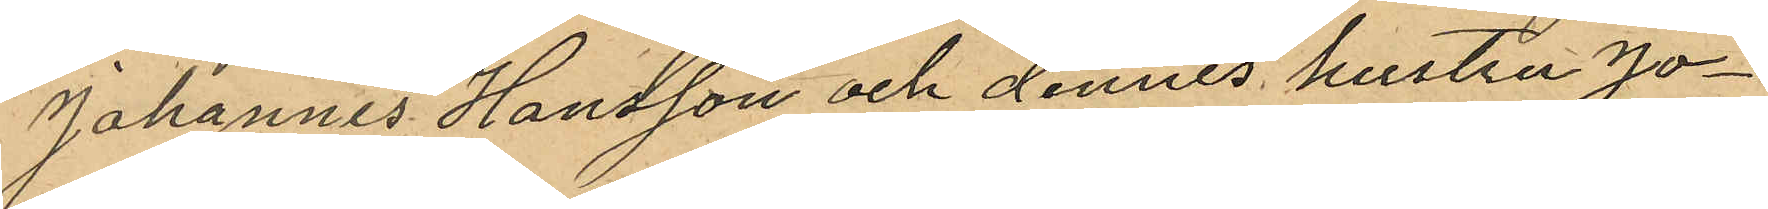Johannes Hansson och dennes hustru Jo¬
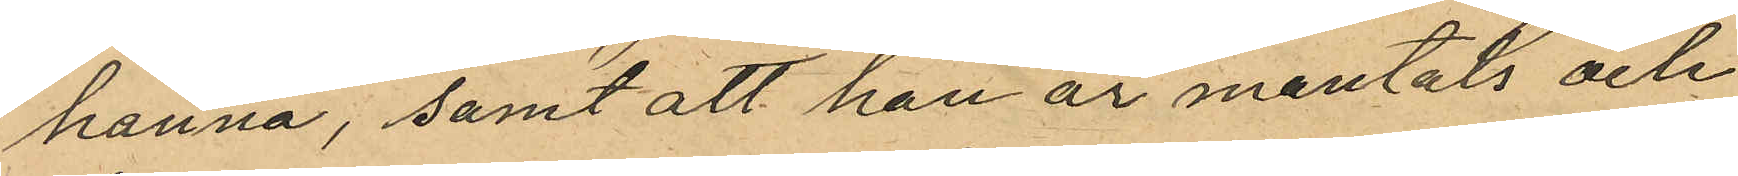hanna, samt att han är mantals och
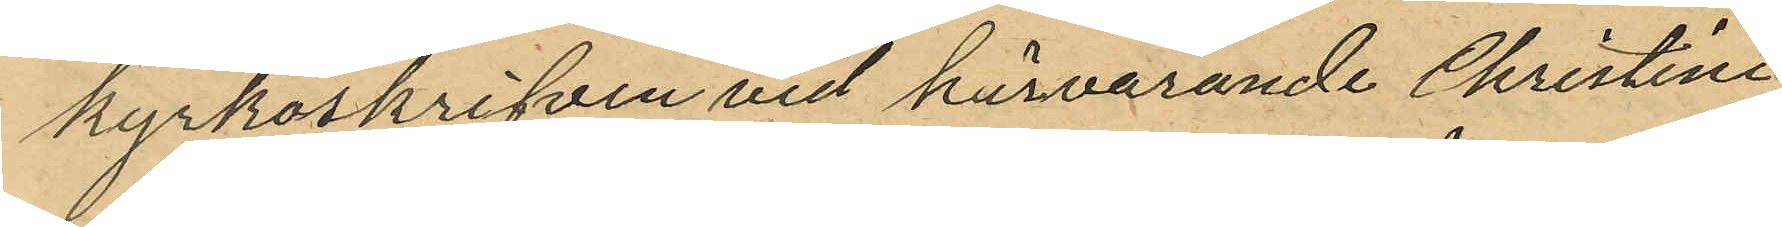kyrkoskrifven vid härvarande Christine
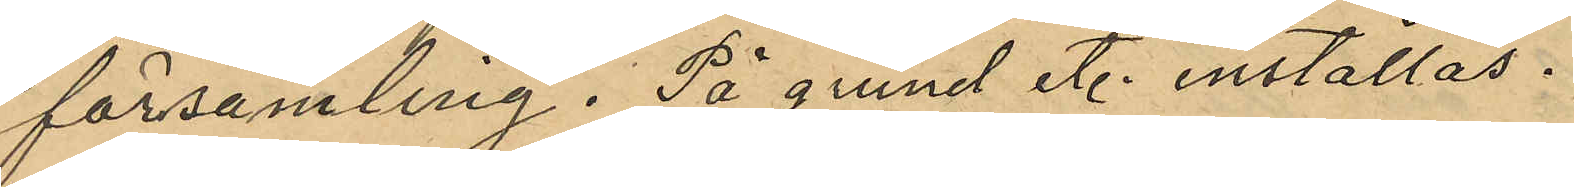församling. På grund et. inställas.
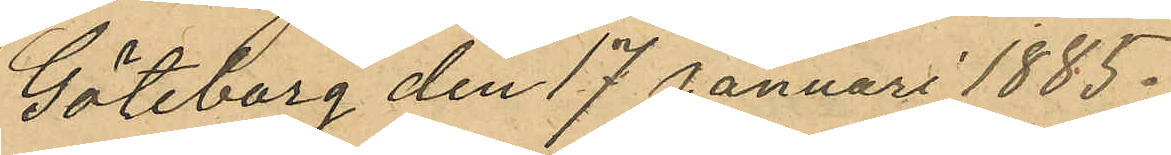Göteborg den 17 Januari 1885.
